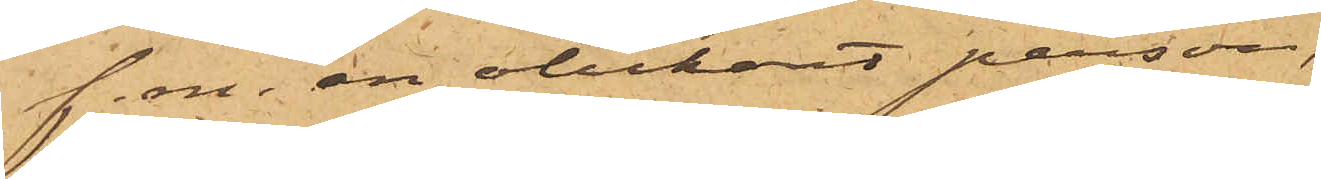f.m. en obekant person,
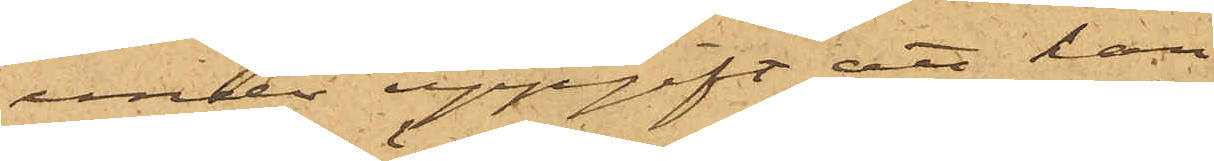under uppgift att han
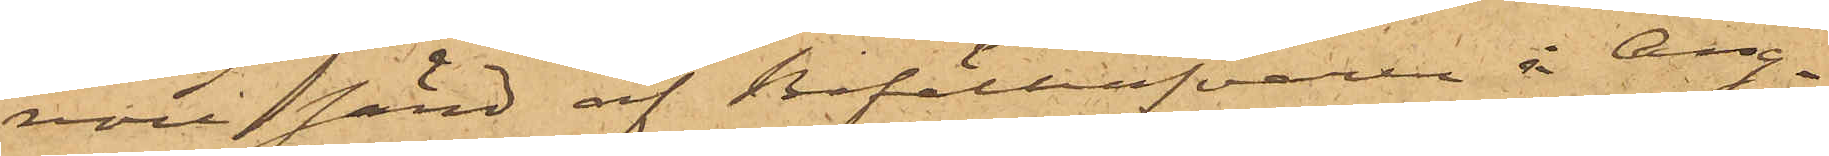vore sänd af Befälhafvaren å Ång¬
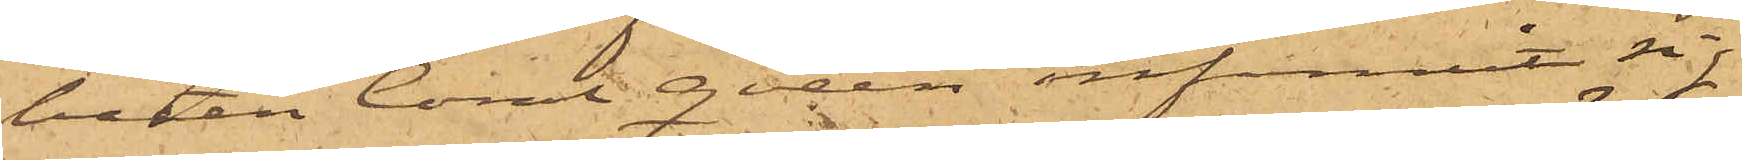båten Coral Queen infunnit sig
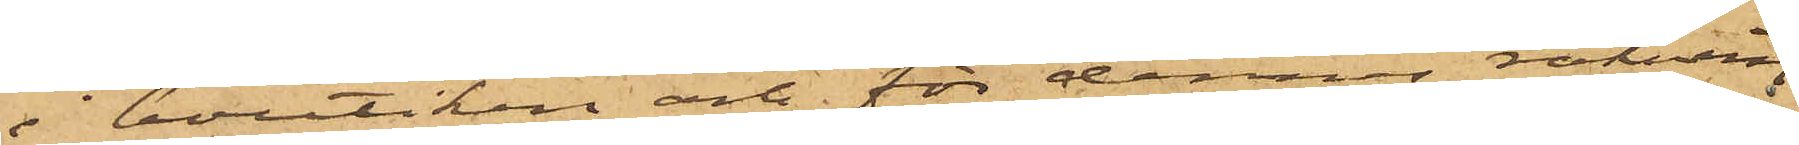i boutiken och för dennes räkning
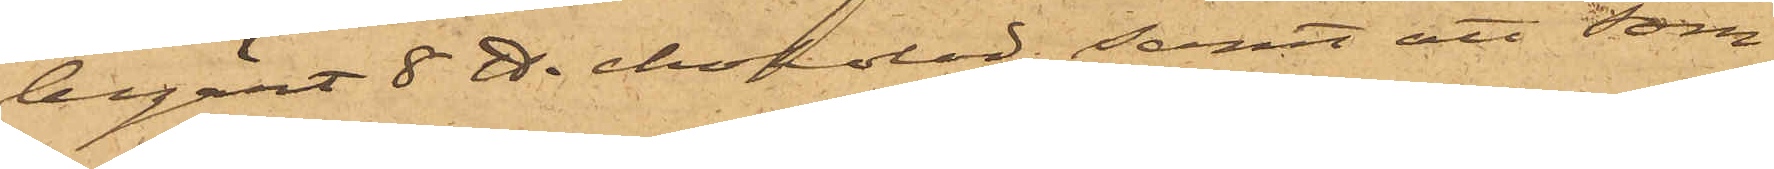begärt 8 ℔ chokolad; samt att som
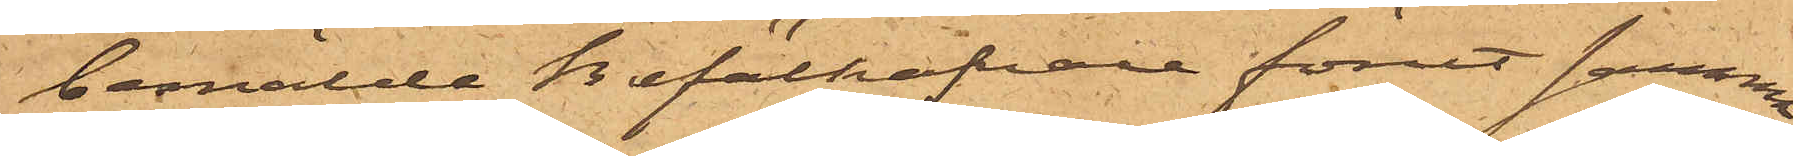bemälde Befälhafvare förut samma
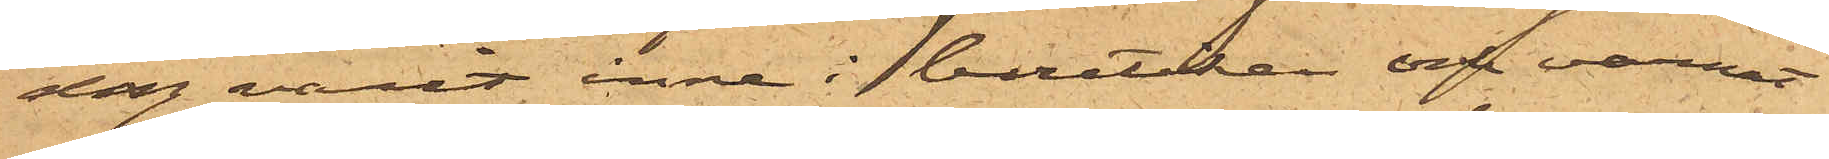dag varit inne i butiken och varnat
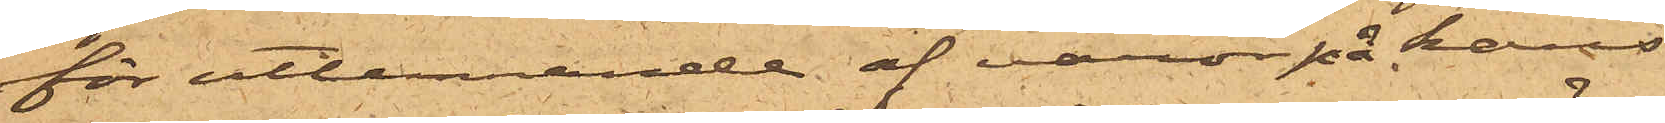för utlämnande af varor på hans
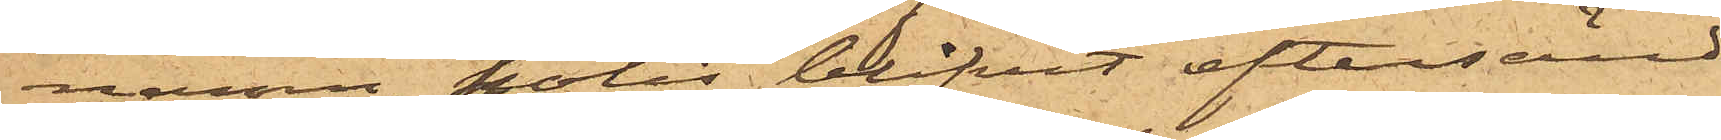namn, polis blifvit eftersänd
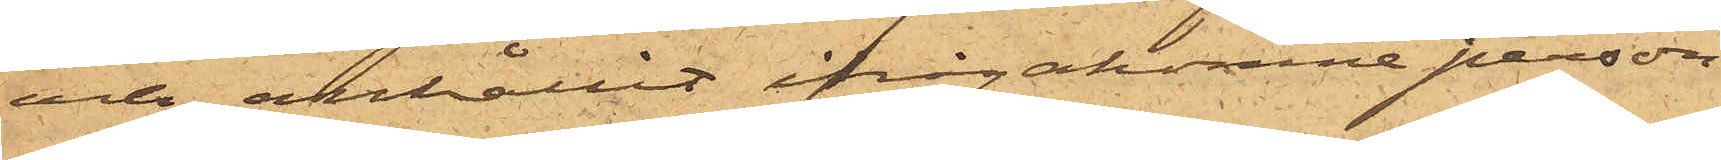och anhållit ifrågakomne person.
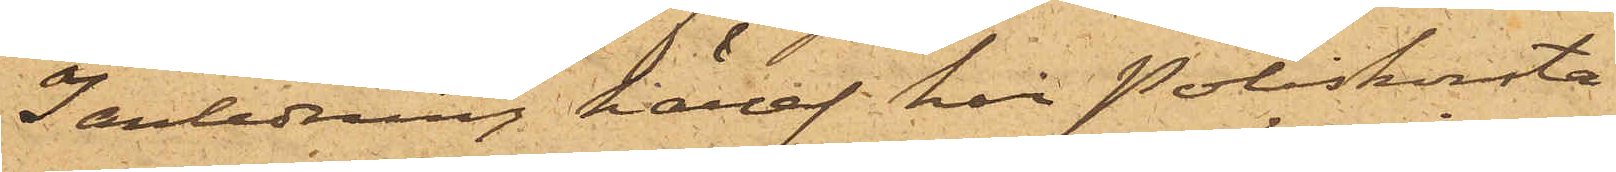I anledning häraf har Poliskonsta¬
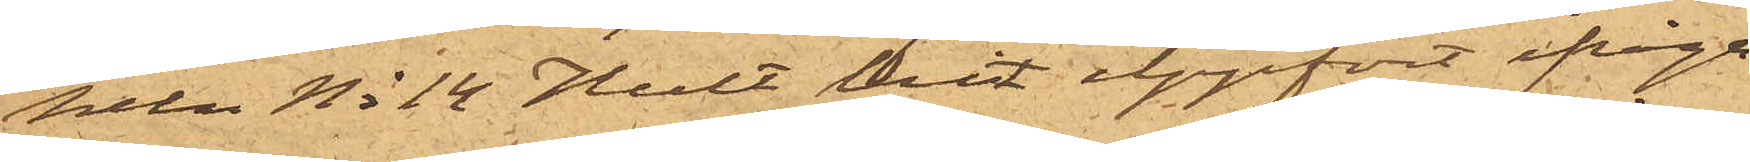peln No 14 Hult hit uppfört ifråga¬
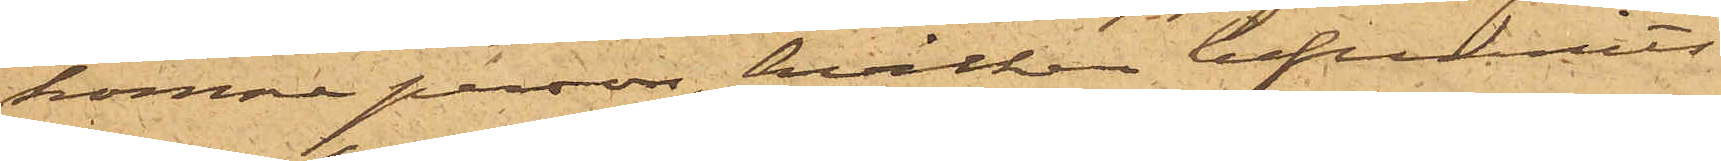komne person, hvilken befunnits
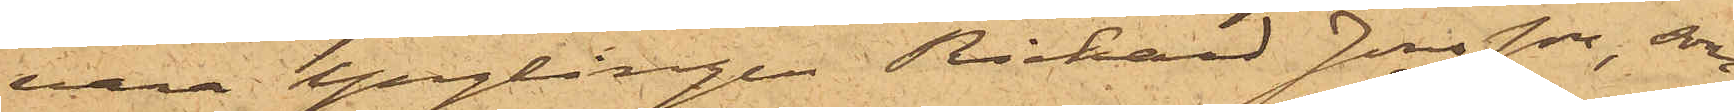vara Ynglingen Rickard Jonsson, som
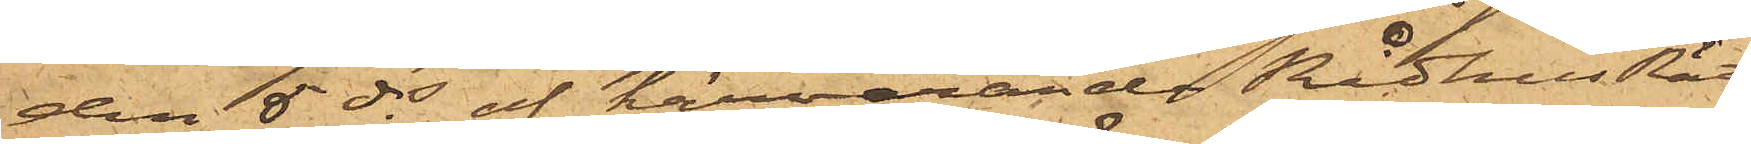den 5 ds af härvarande RådhusRätt
